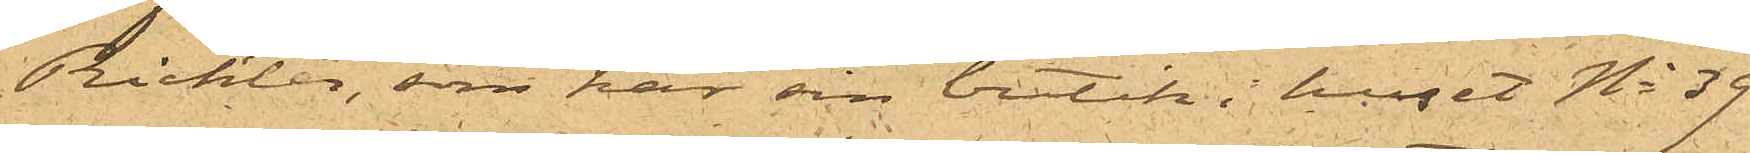Richter, som har sin butik i huset No 39
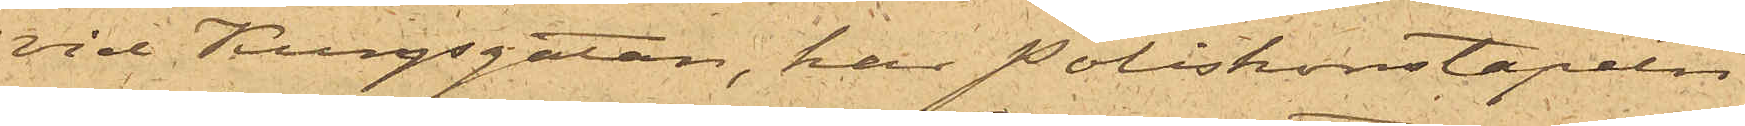vid Kungsgatan, har Poliskonstapeln
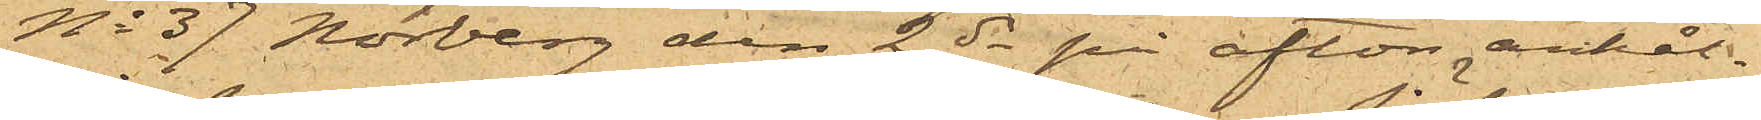No 37 Norberg den 2 ds på afton anhål¬
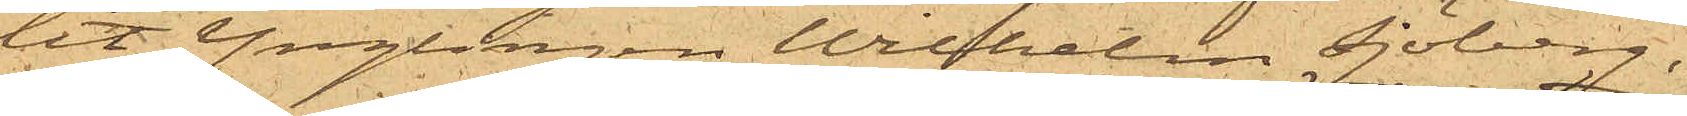lit Ynglingen Wilhelm Sjöberg,
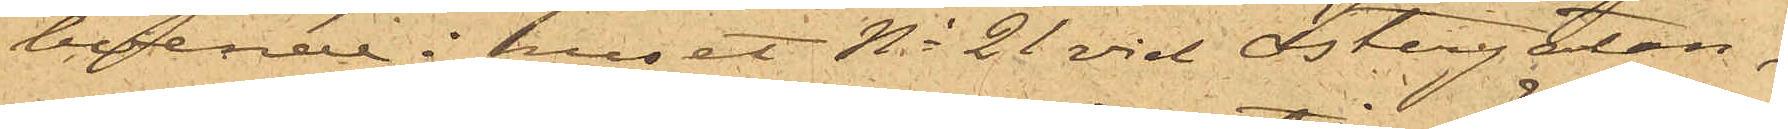boende i huset No 21 vid Östergatan,
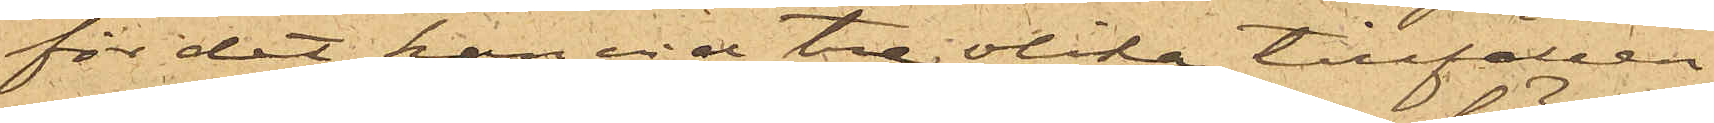för det han vid tre olika tillfällen
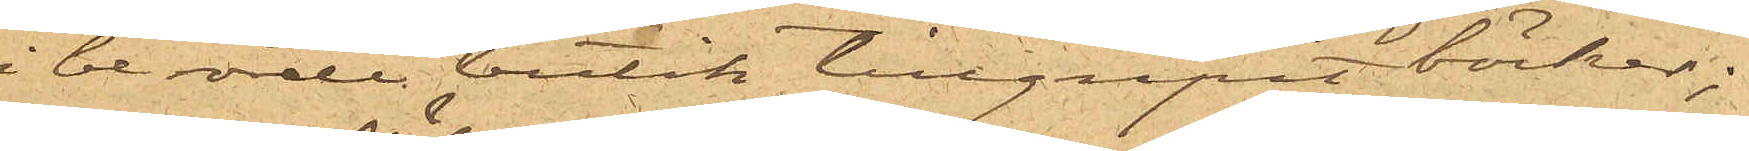i berörde butik tillgripit böcker;
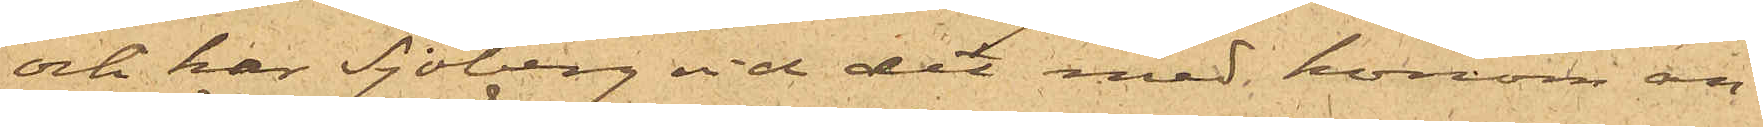och har Sjöberg vid det med honom an¬
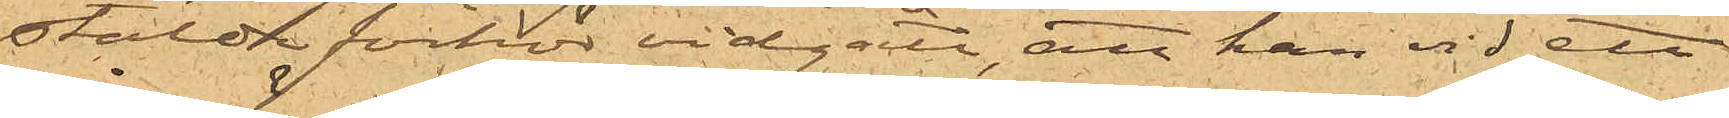stälde förhör vidgått, att han vid ett
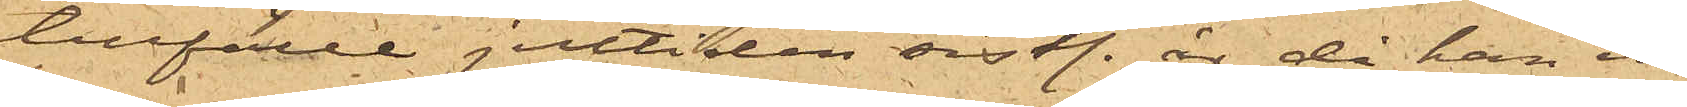tillfälle jultiden sist. år, då han in¬
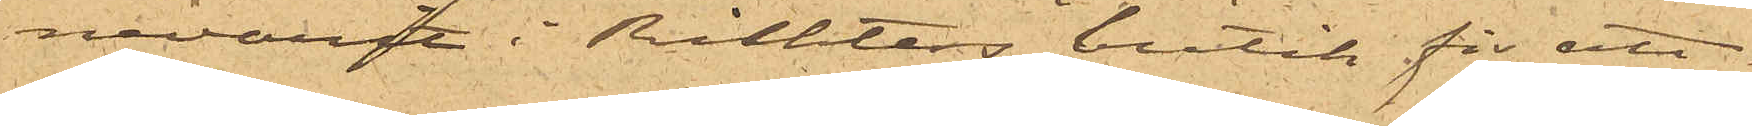nevarit i Richters butik för att
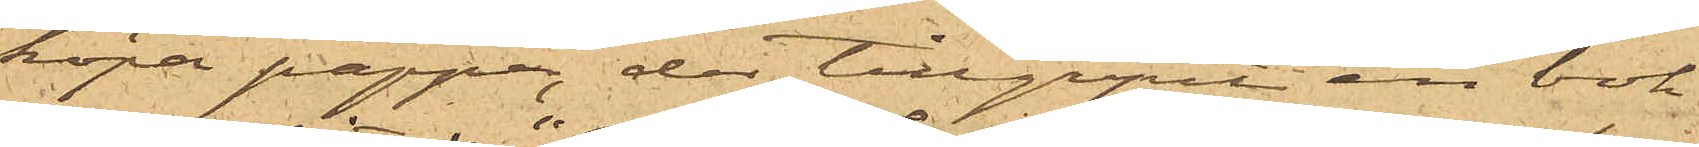köpa papper, der tillgripit en bok
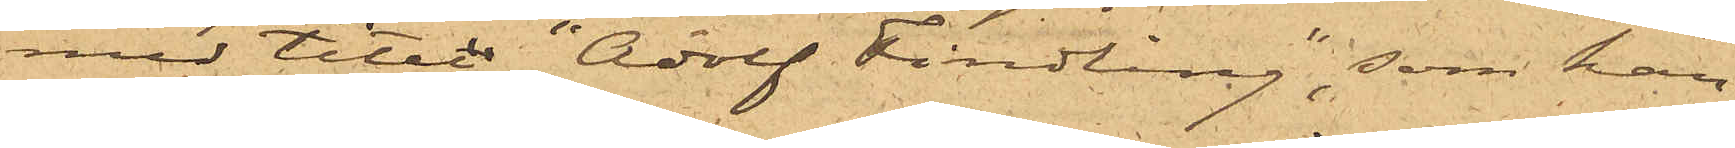med titerln "Adolf Findling", som han
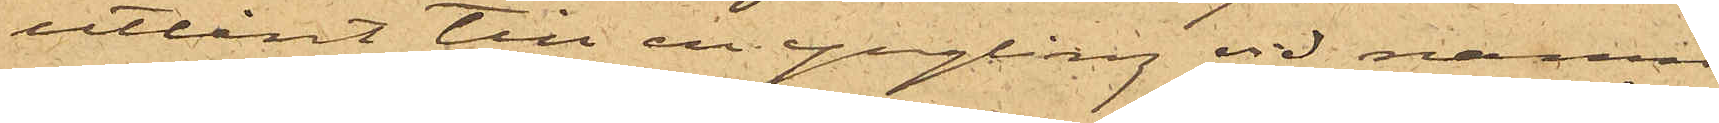utlånat till en yngling vid namn
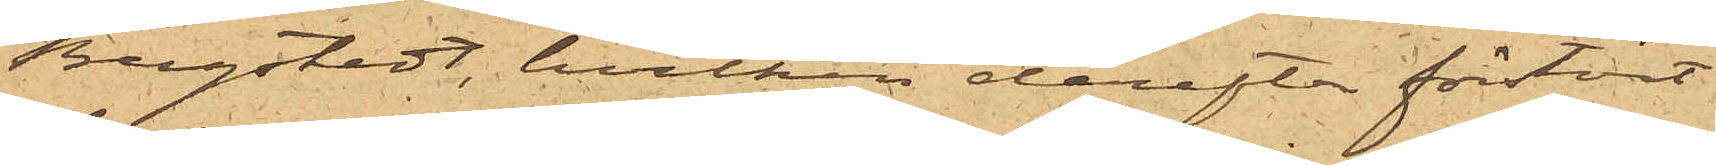Bergstedt, hvilken derefter förstört
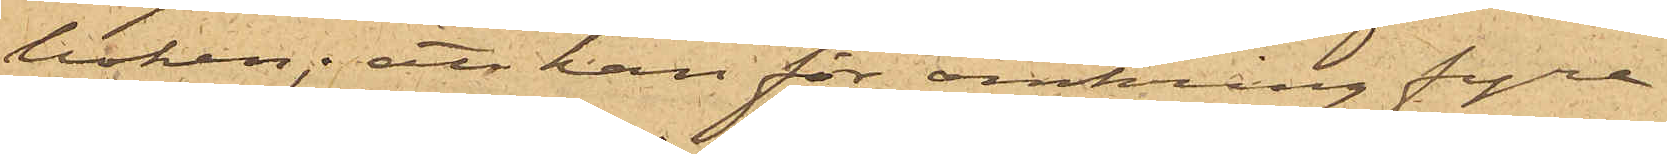boken; att han för omkring fyra
